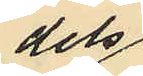dels
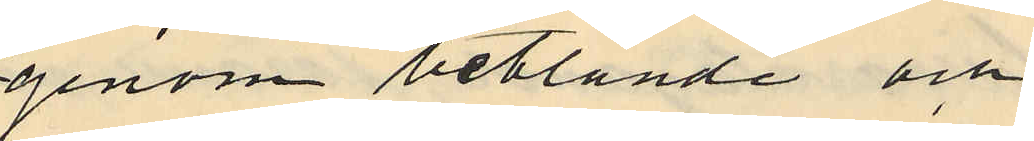genom betlande och
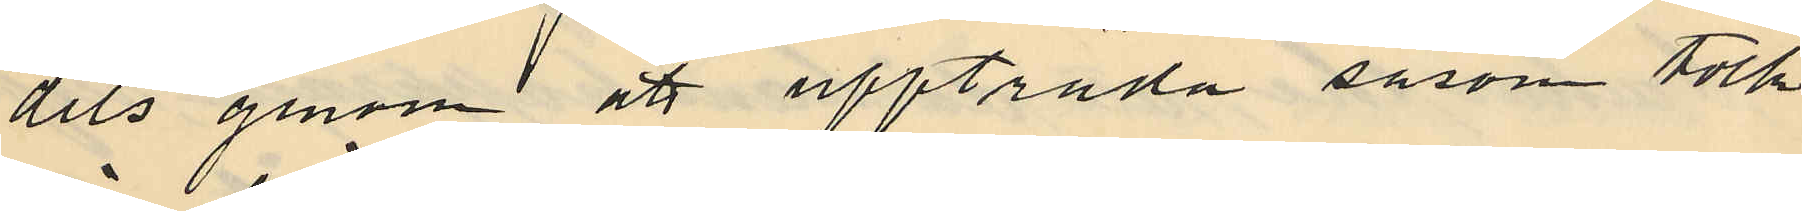dels genom att uppträda såsom tolk
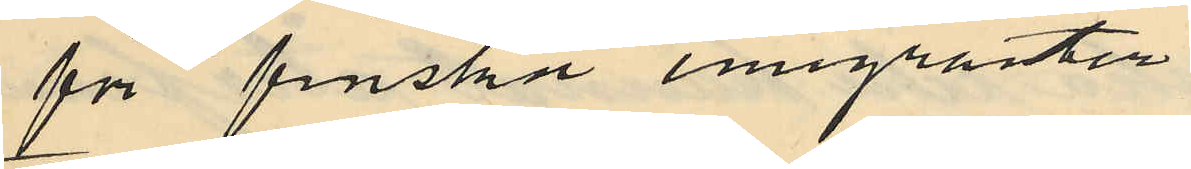för finska emigranter
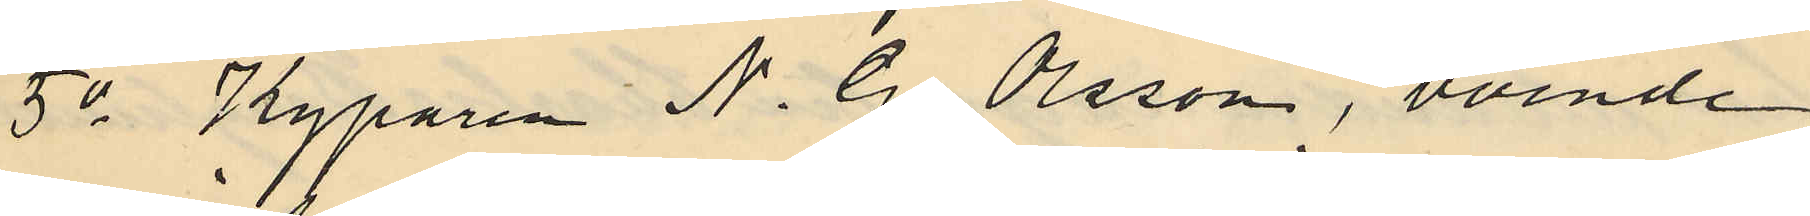5o Kyparen N. G. Olsson, boende
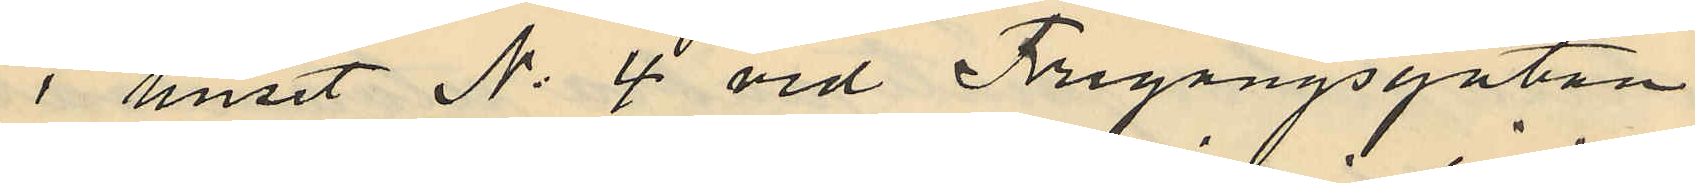i huset No 4 vid Frigångsgatan
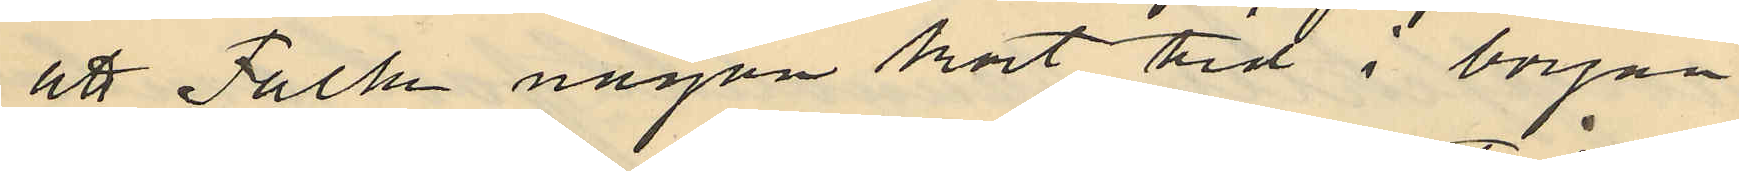att Falk någon kort tid i början
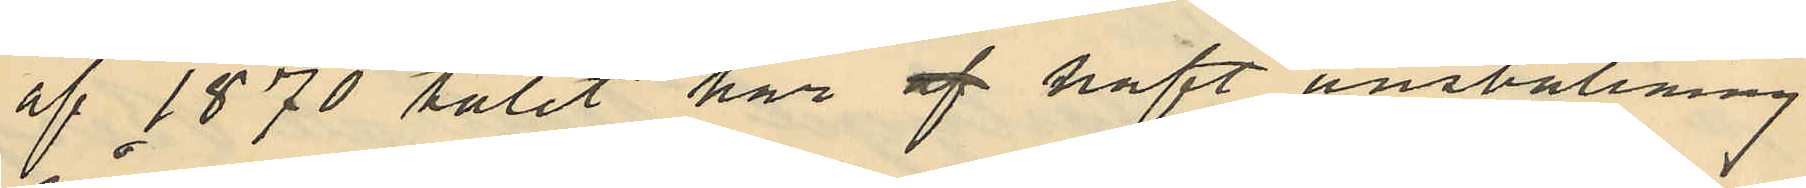af 1870 talet här af haft anställning
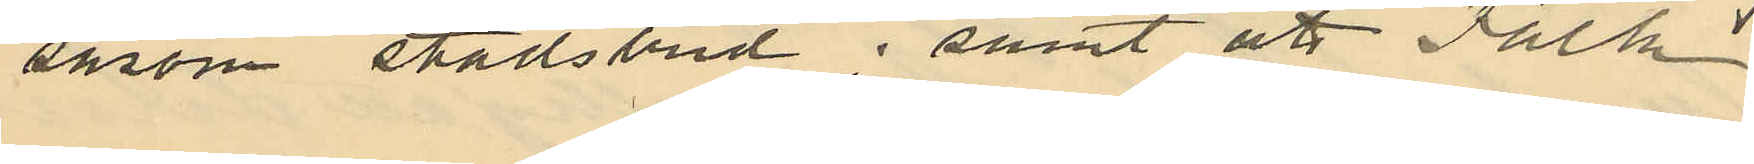såsom stadsbud; samt att Falk
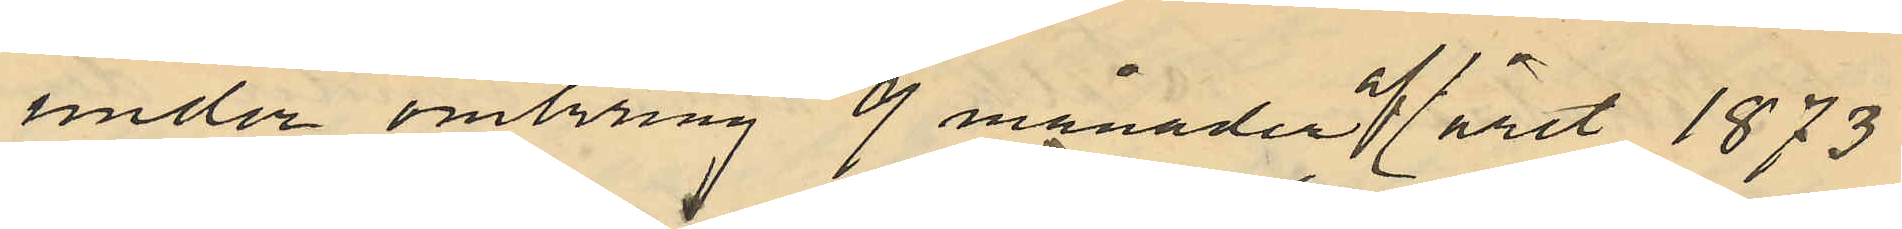under omkring 9 månader af året 1873
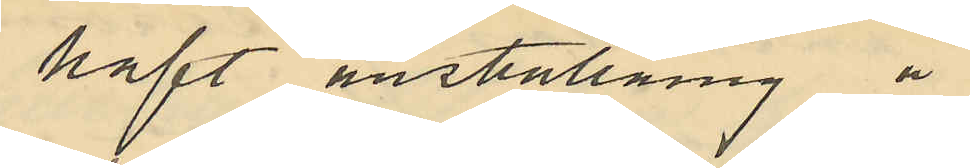haft inställning å
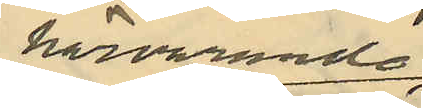härvarande
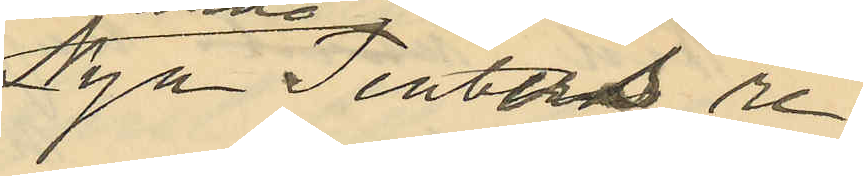Nya Teaterns re¬
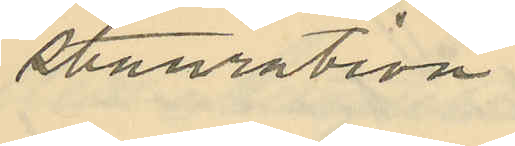stauration.
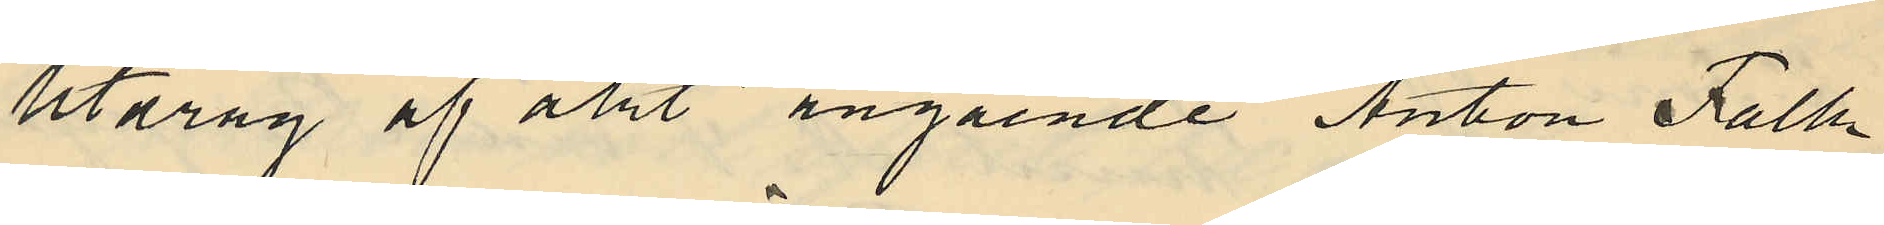Utdrag af akt angående Anton Falk
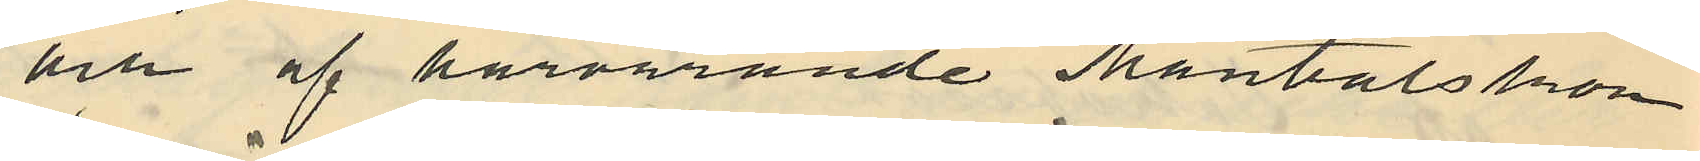och af härvarande Mantalskon
